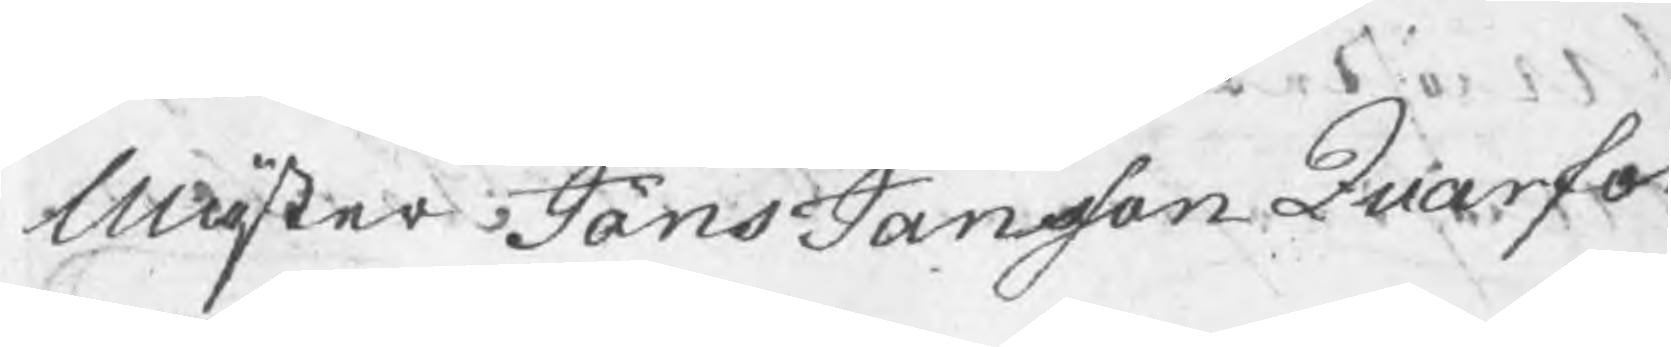Mäster Jöns Jansson Quarfort
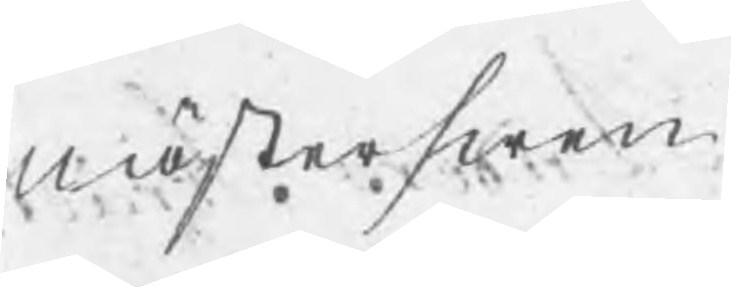Mästerswen
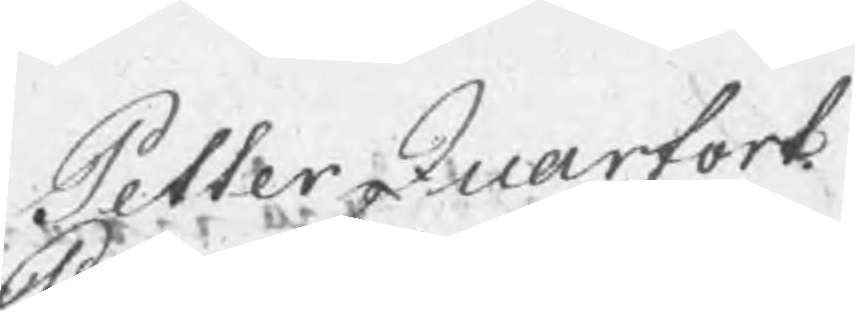Petter Quarfodt
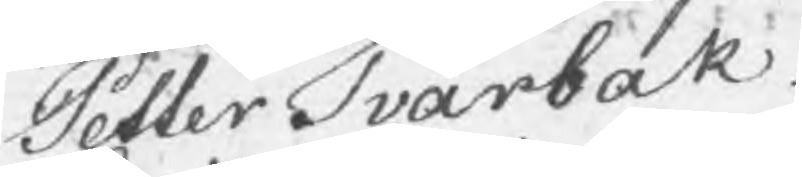Petter Tvärbak
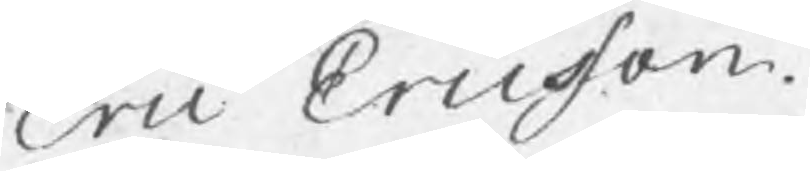Eric Ericsson.
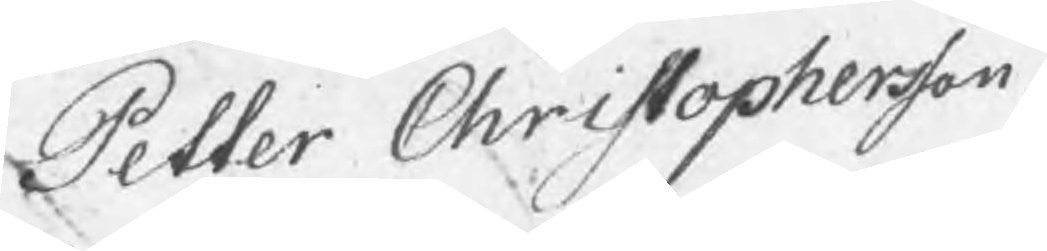Petter Christophersson.
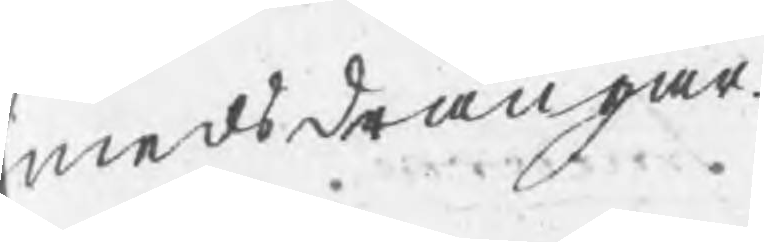medsdrängar
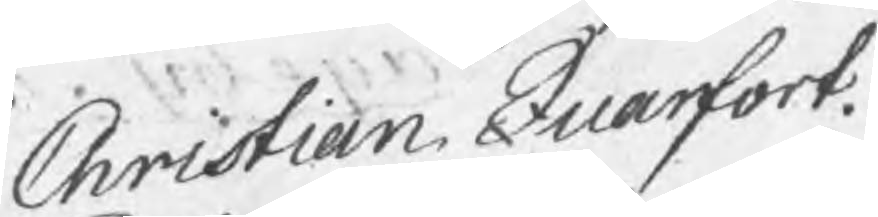Christian Quarfort
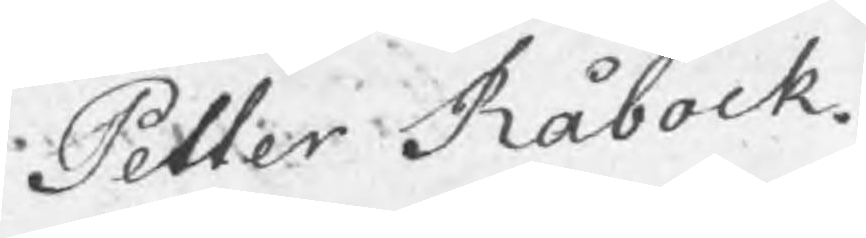Petter Råbock.
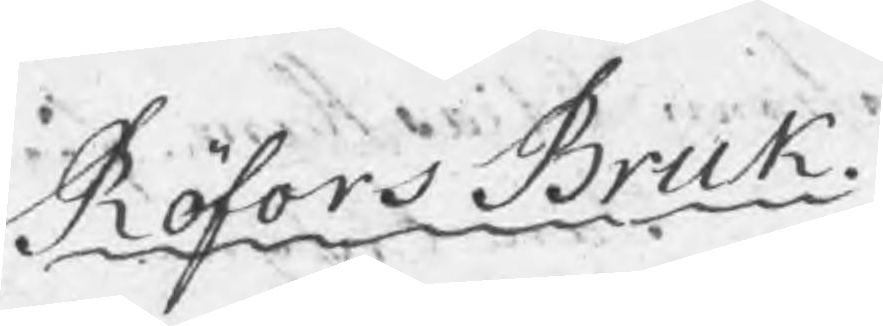Röfors Bruk.
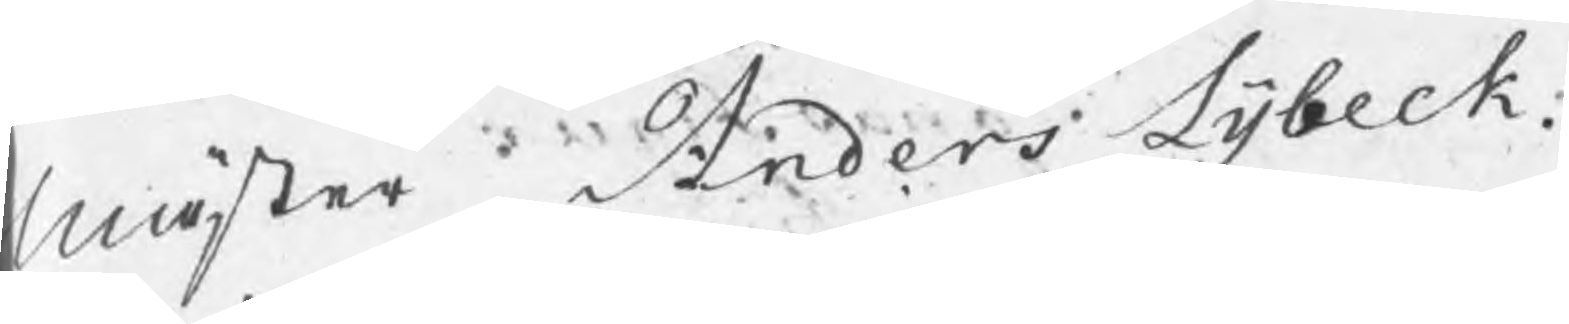Mäster Anders Lybeck.
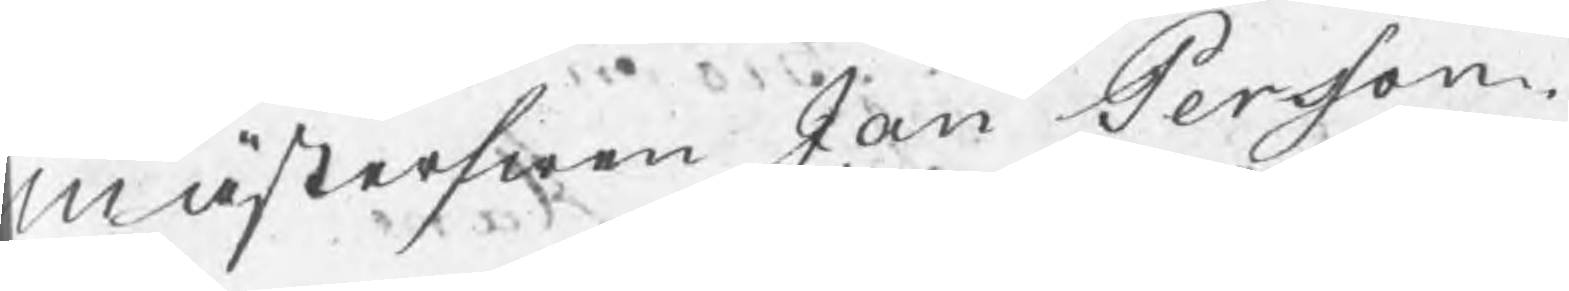Mästerswen Jan Persson.
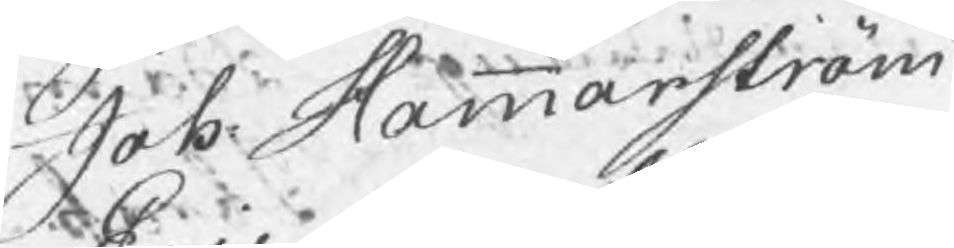Joh: Hammarström
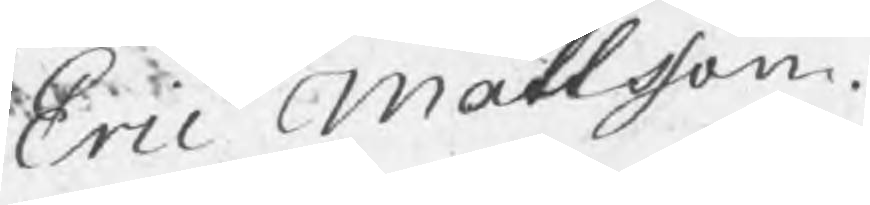Eric Mattsson.
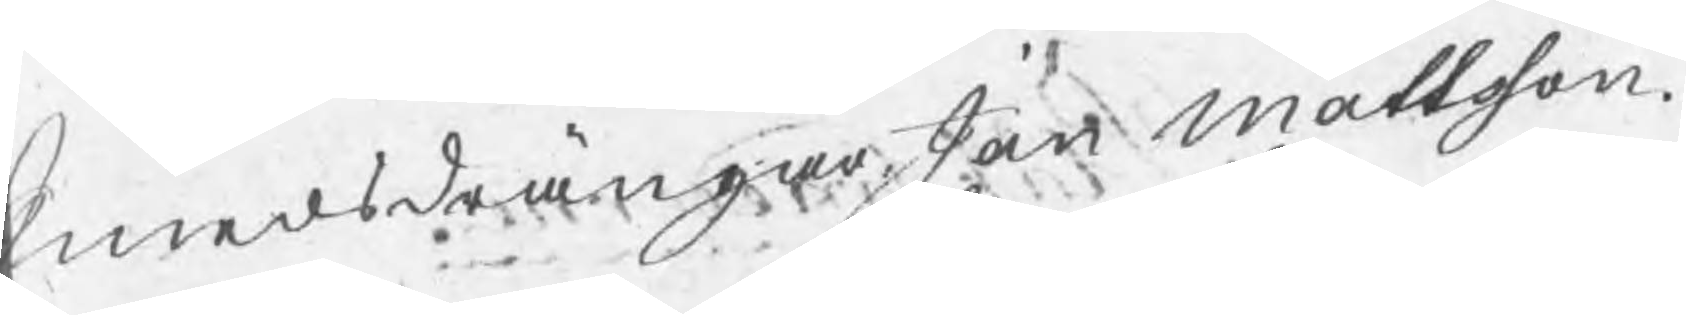Smedsdrängar Jan Mattsson.
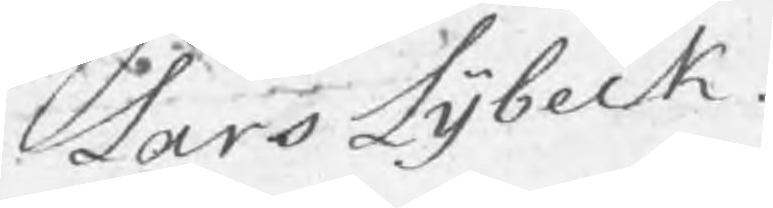Lars Lybeck.
